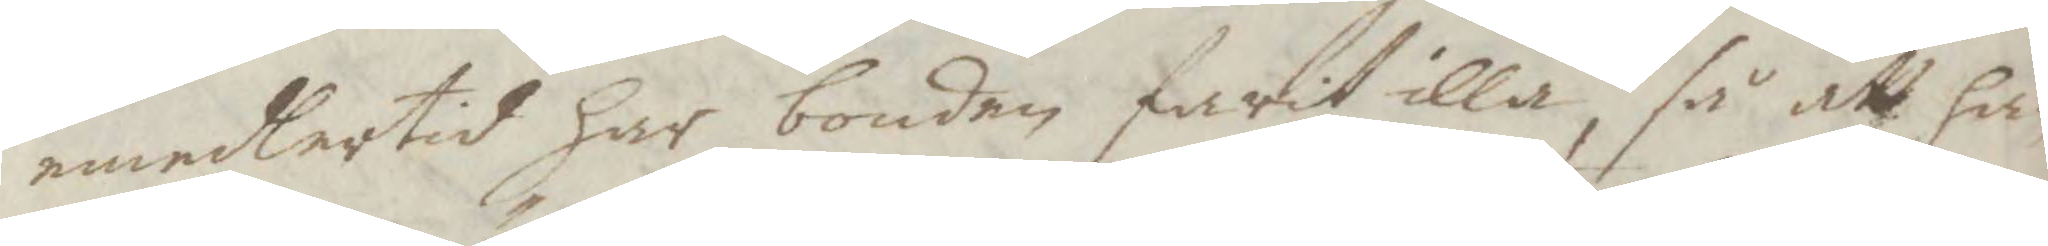emedlertid har bonden farit illa, så att han
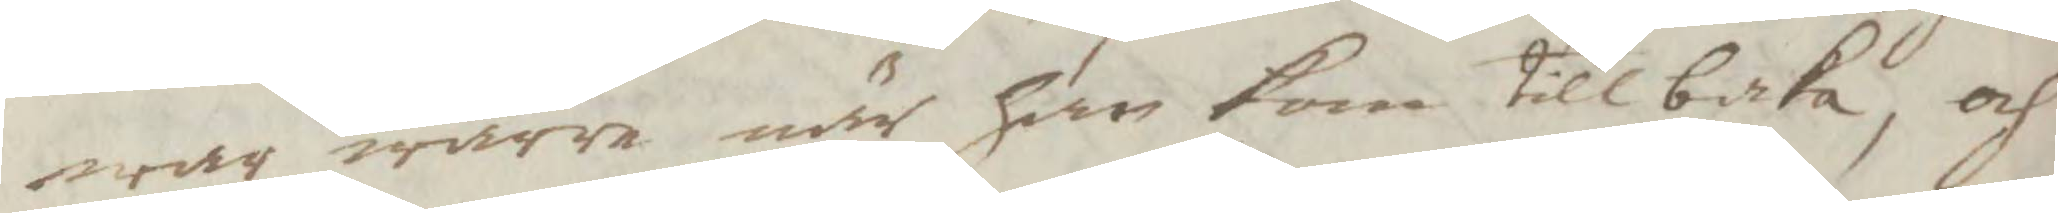war wärre när han kom tillbaka, och
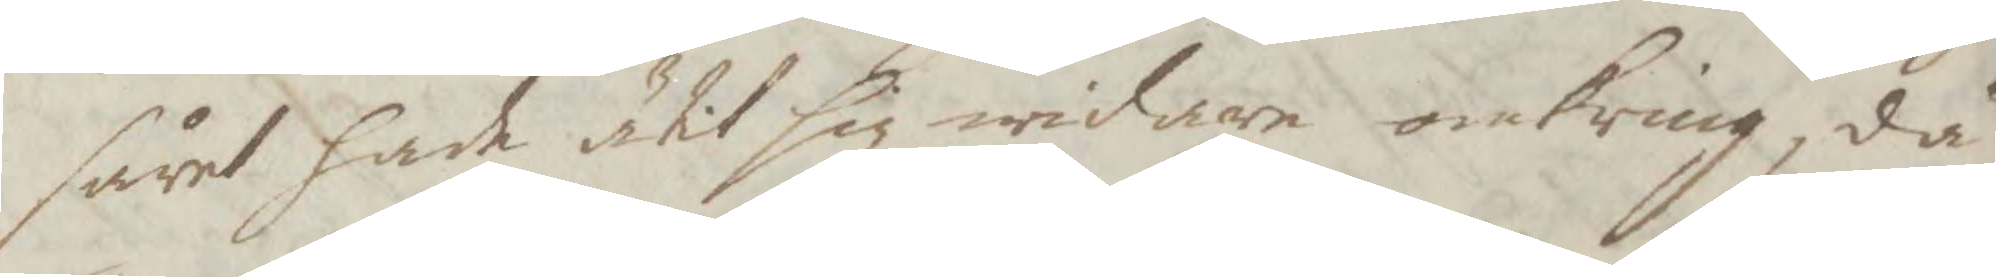såret hade ätit sig widare omkring, då
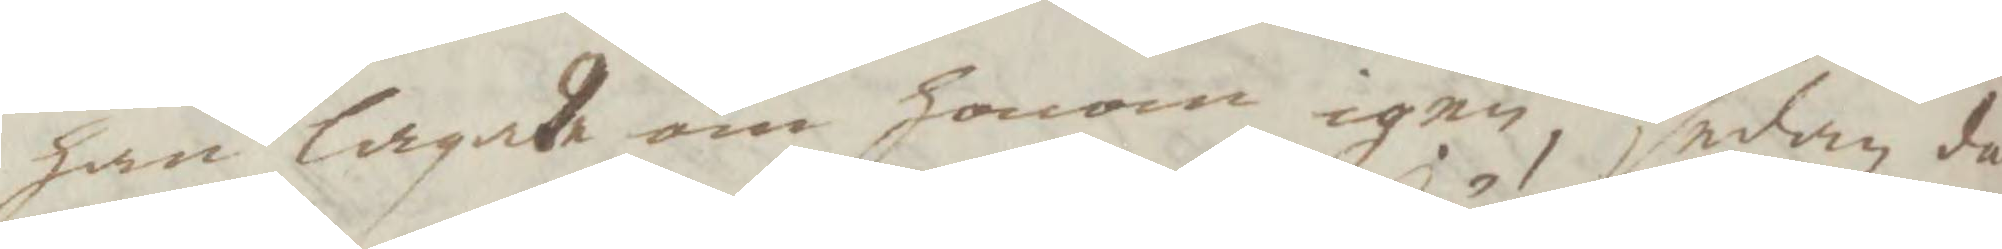han lagade om honom igen, sedan då
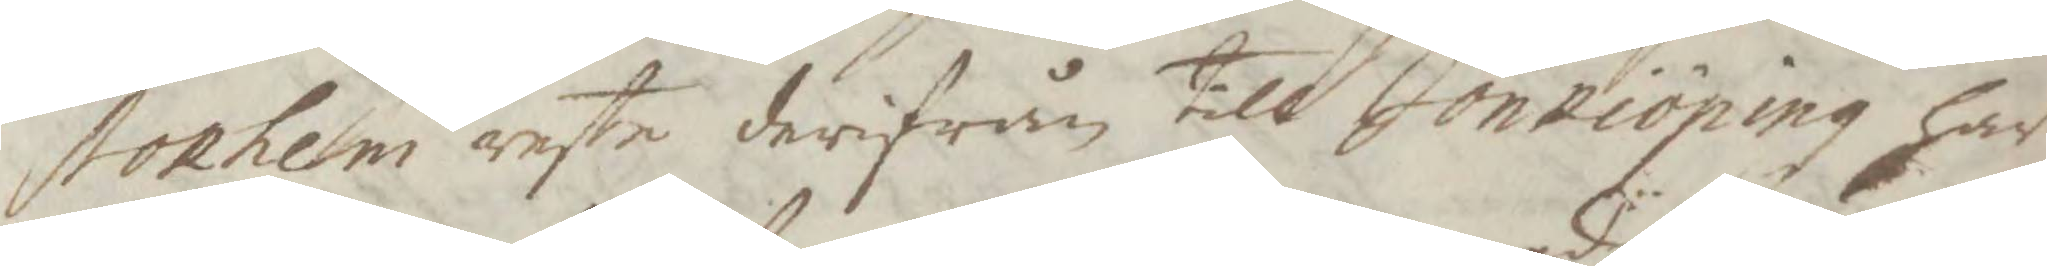stokhem reste derifrån till Jönköping har
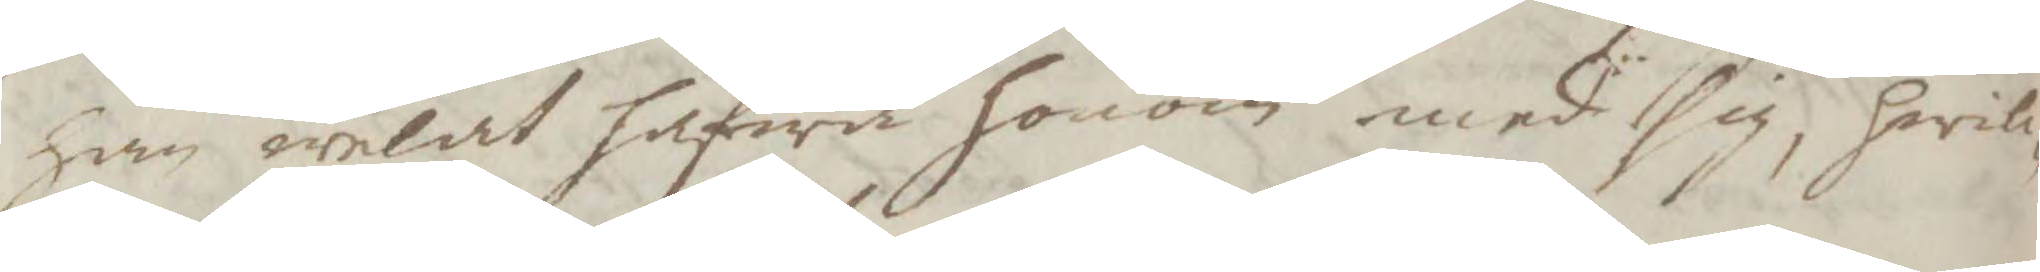han welat hafwa honom med sig, hwil¬
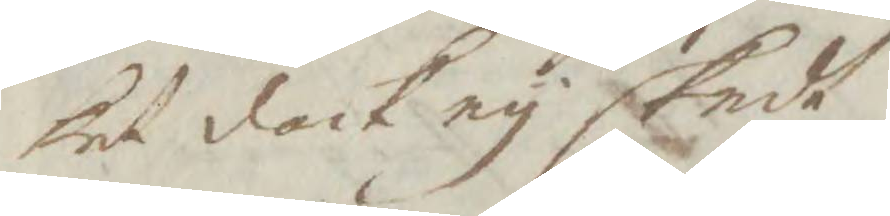ket dock ey skedt.
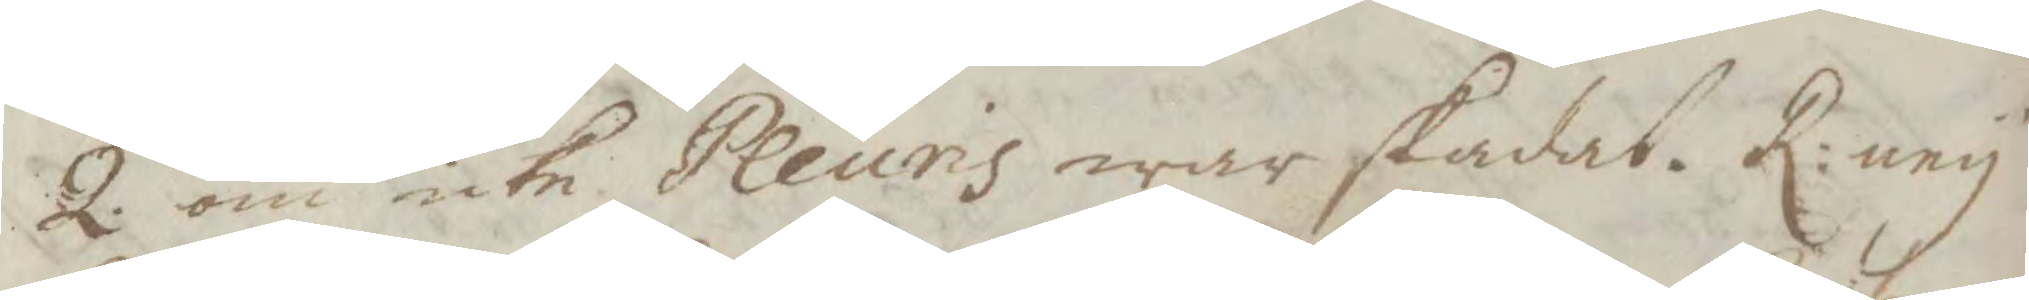2. om icke Pleuris war skadat. R: ney
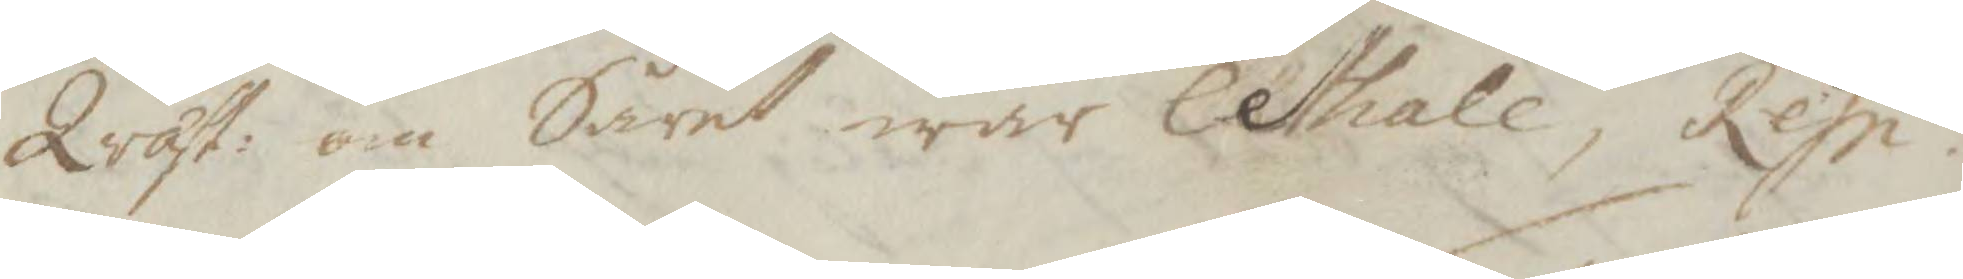Qwast: om Såret war Lethale, Rep.
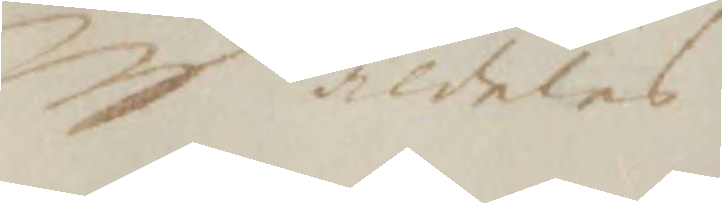aldeles
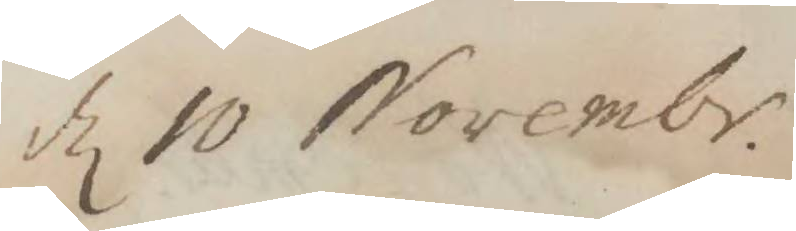d 10 Novembr.
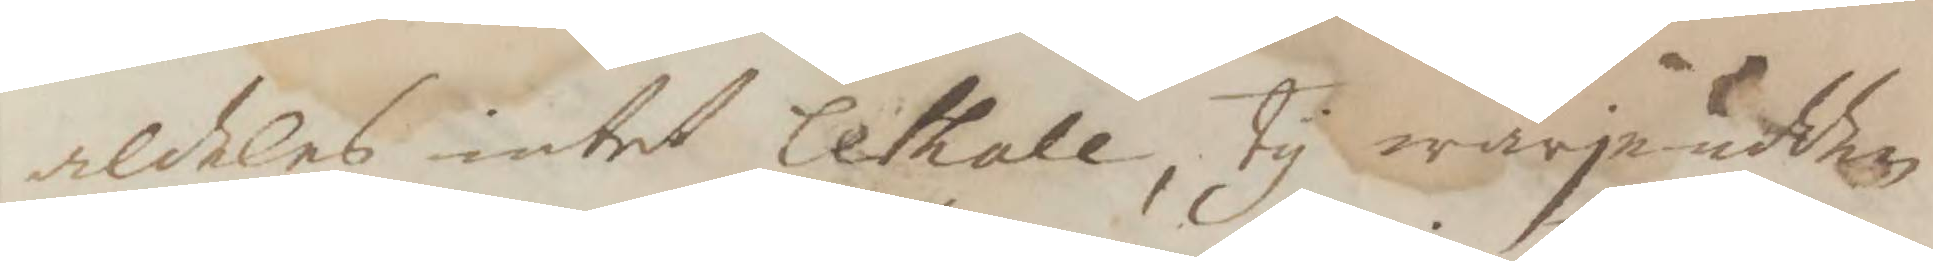aldeles intet lethale, ty wärjeudden
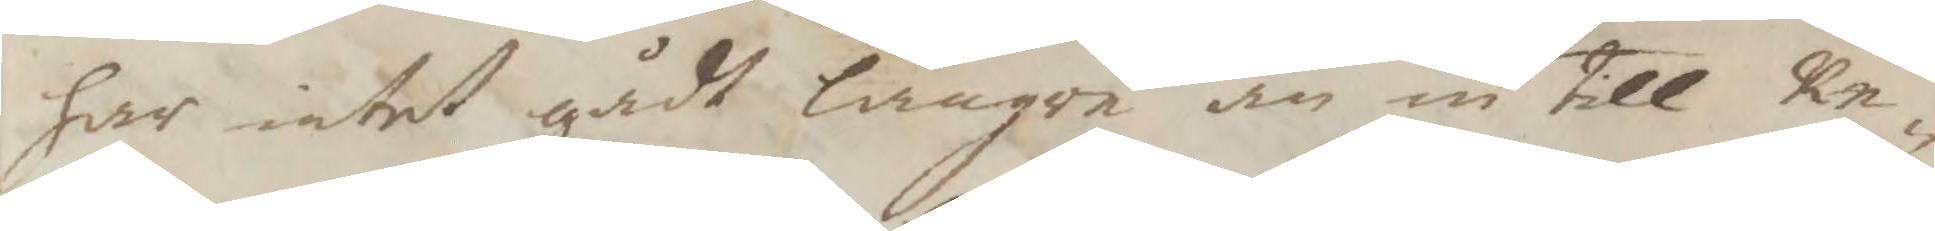har intet gådt längre än in till Re¬
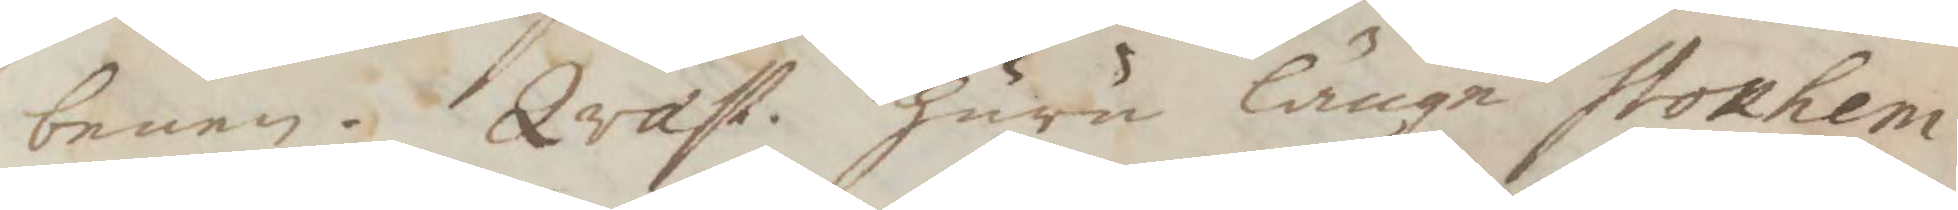benen. Qvast. huru länge stokhem
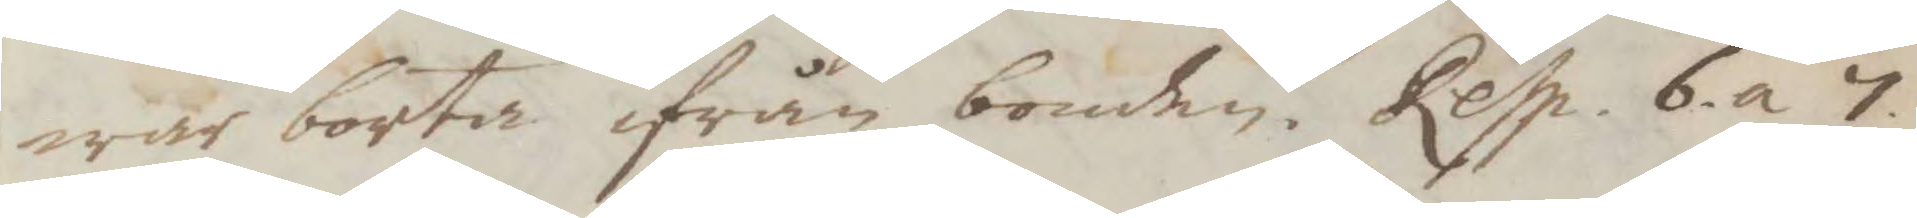war borta ifrån bonden. Resp. 6 a 7
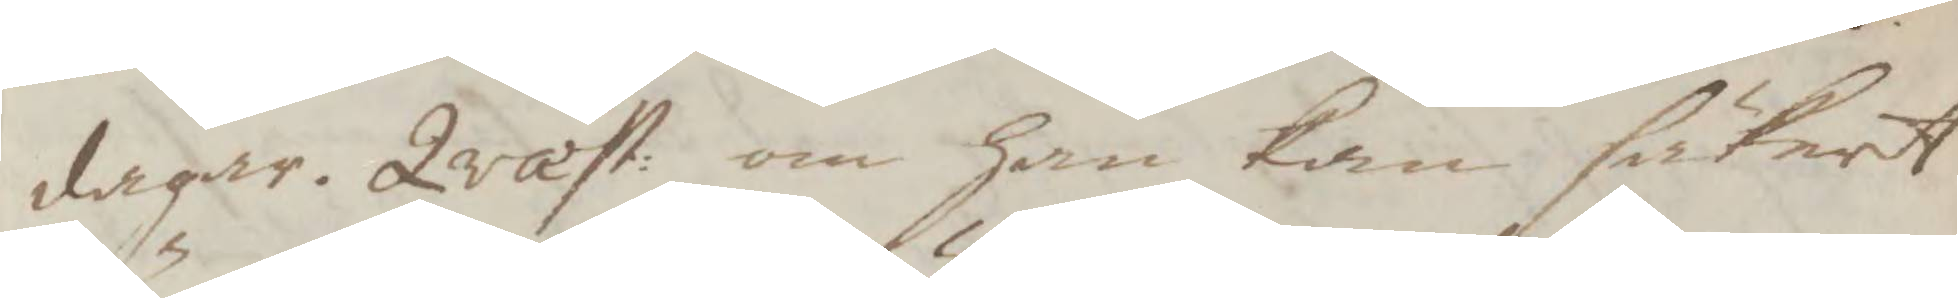dagar, Qvast: om han kan säkert
